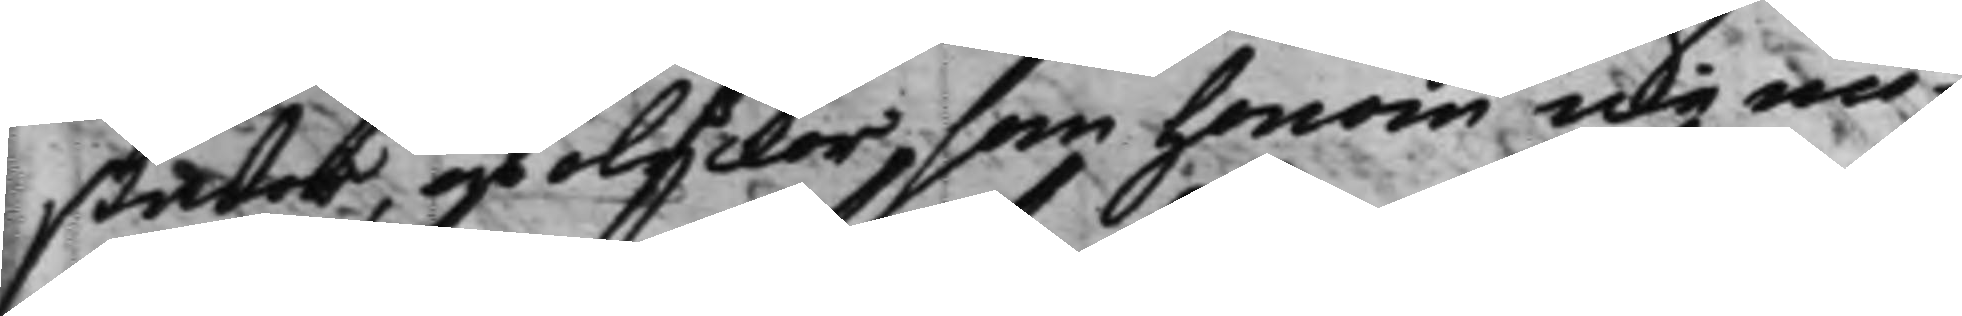skador, och olyckor som honom icke nö¬
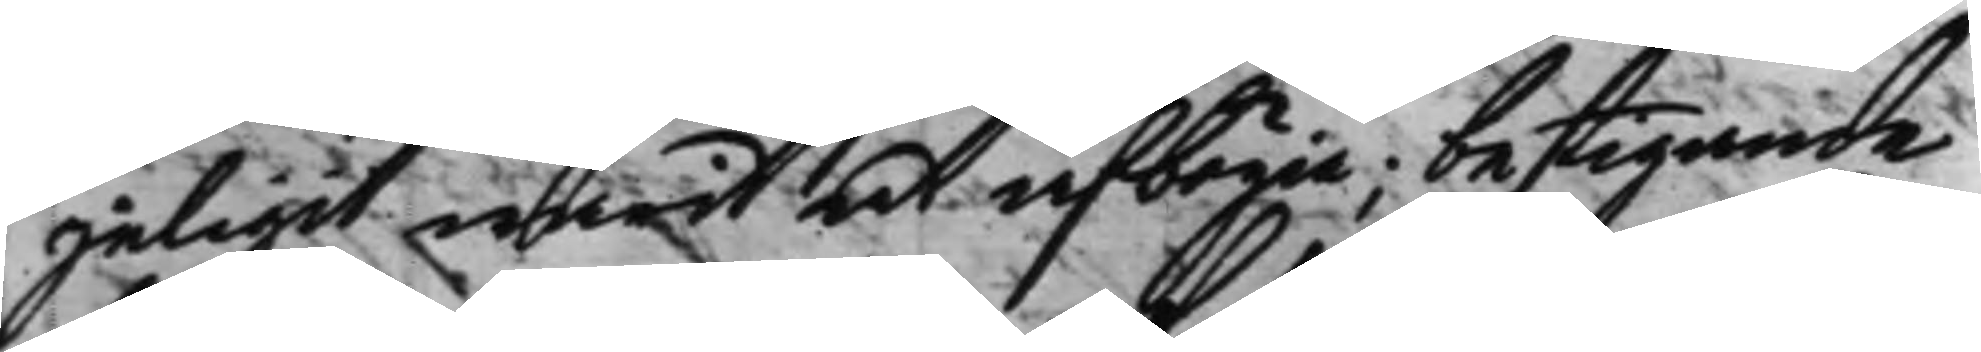jeligit warit at afbögia; bestigande
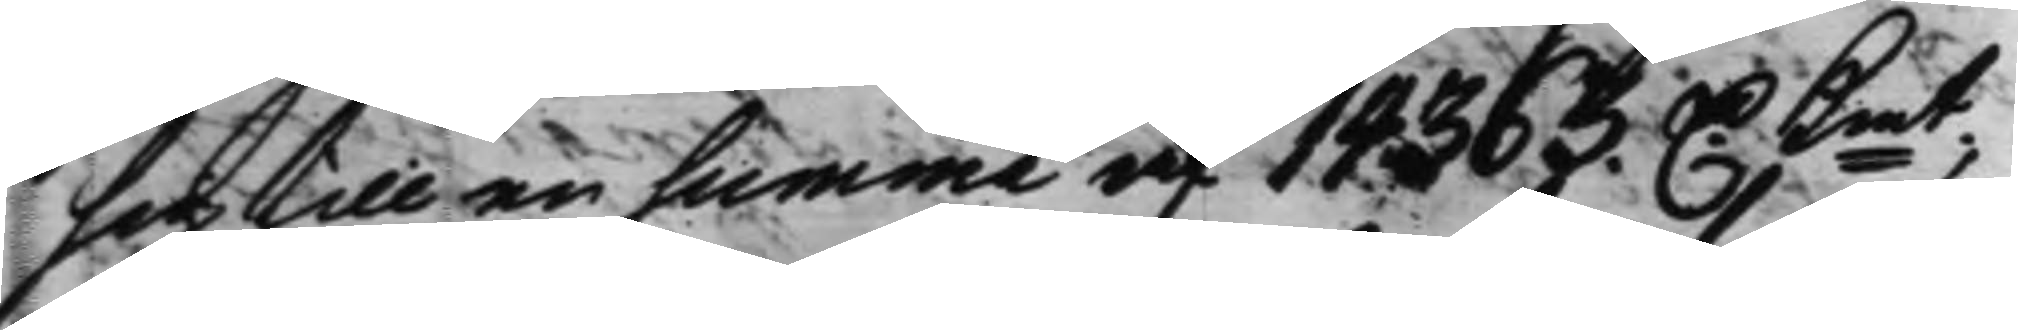sig till en summa af 14363. D. Kmt;
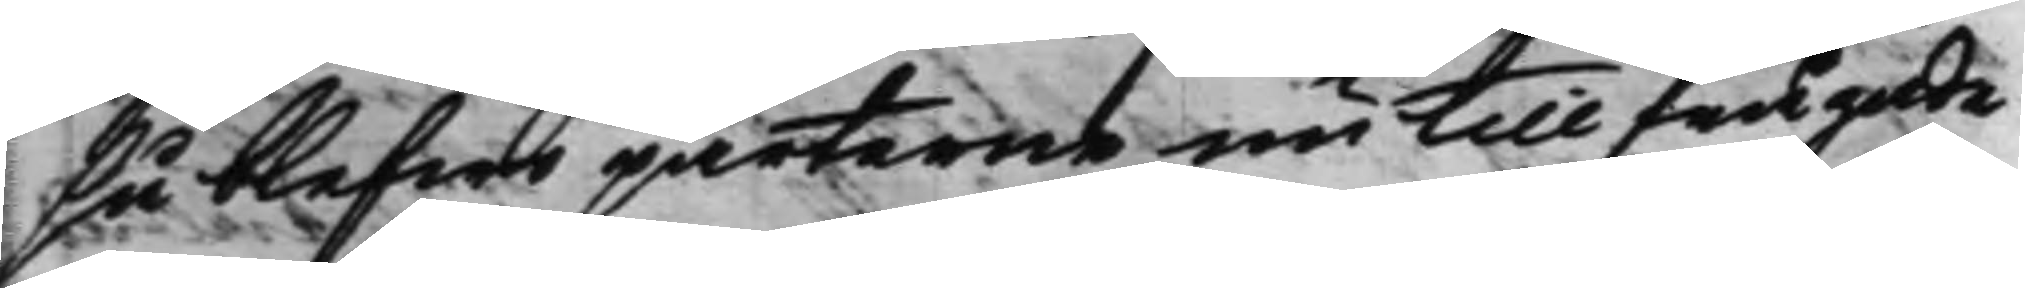så blefwo parterne nu tillfrågade
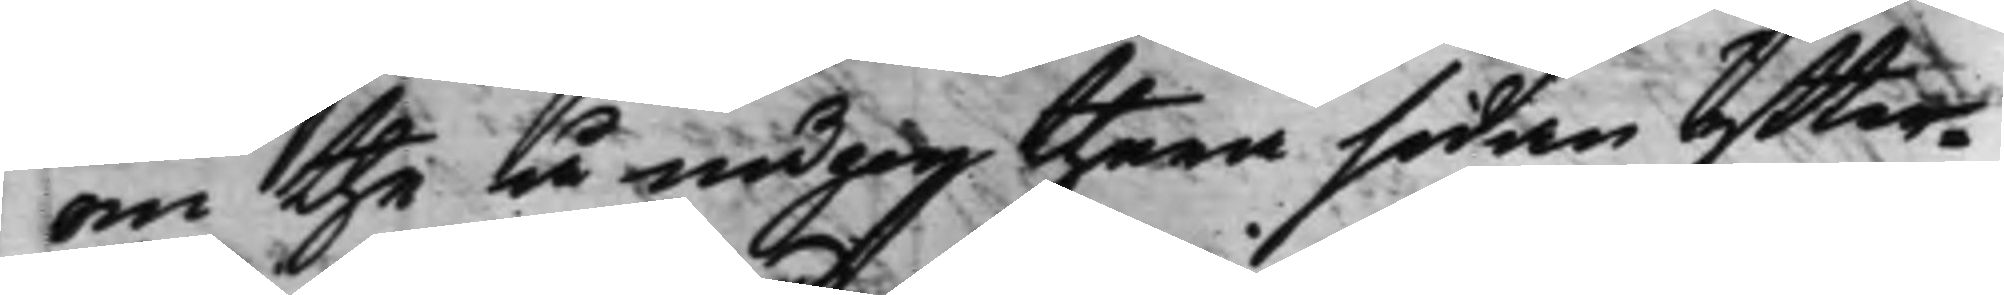om the å någonthera sidan ytter¬
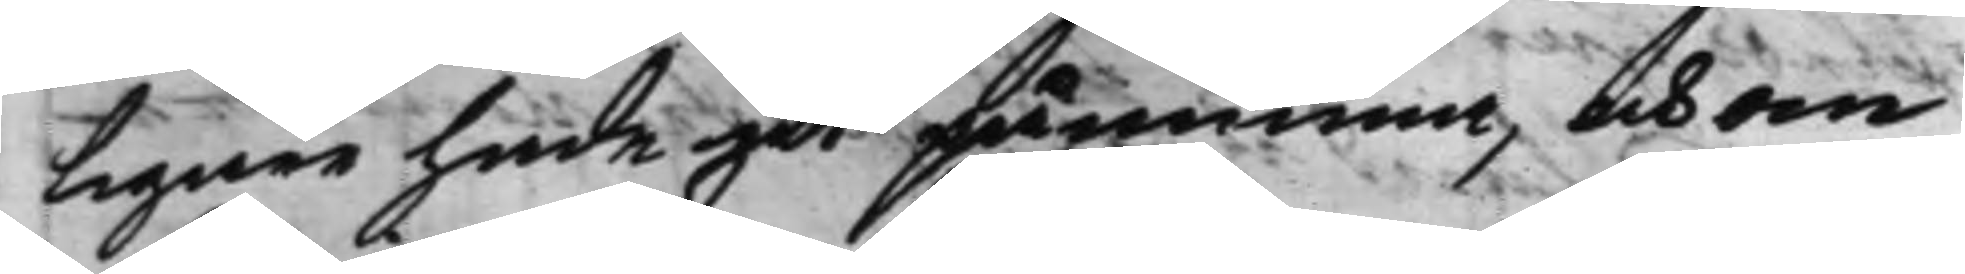ligare hade at påminna, och om
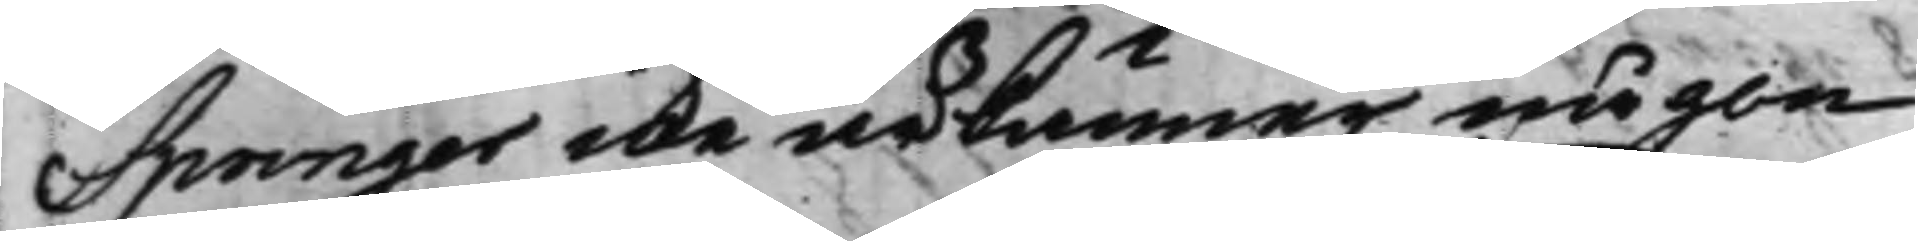Springer icke ärkänner någon
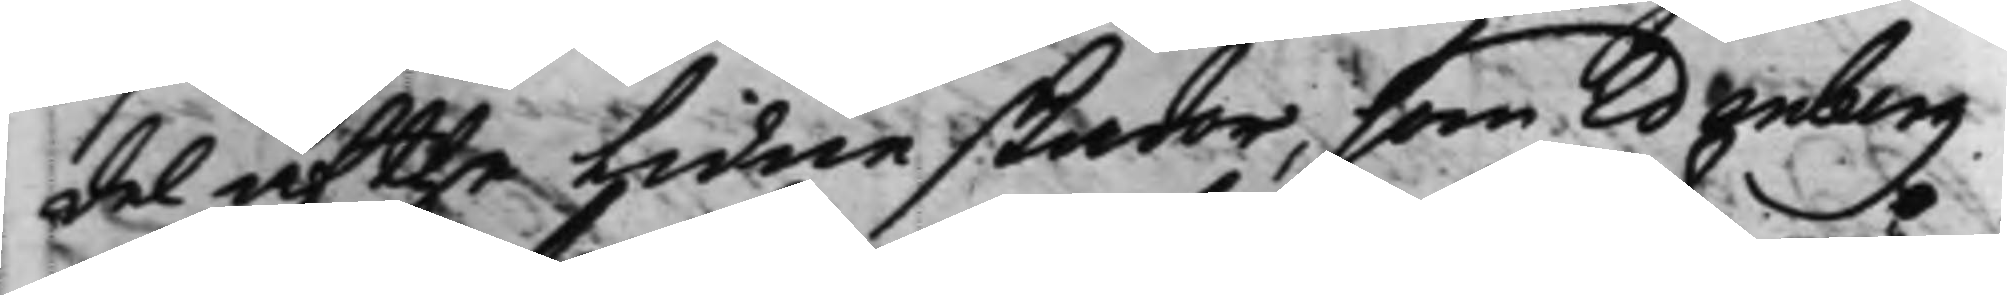del af the lidne skador, som Edenberg
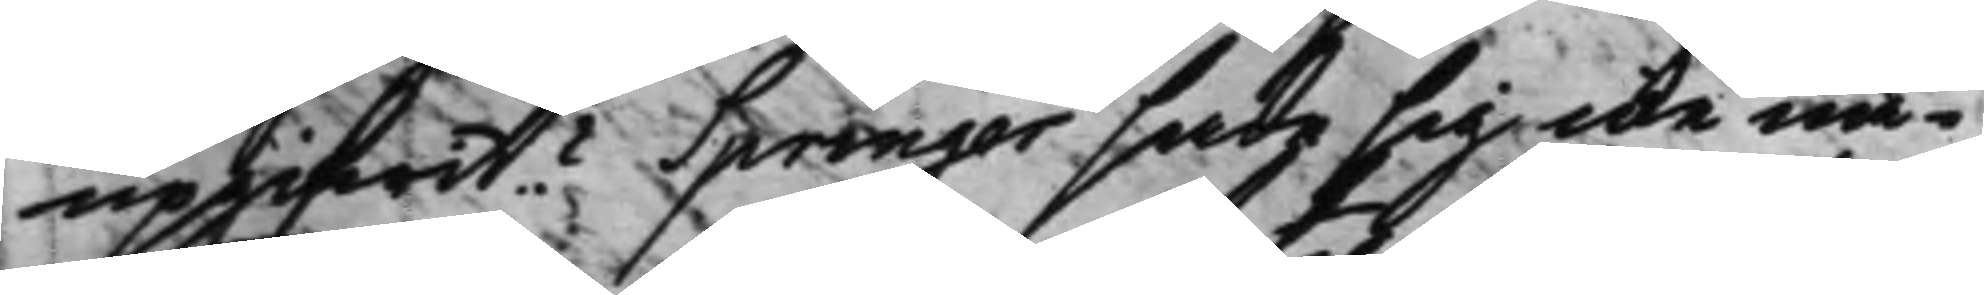upgifwit? Springer sade sig icke nå¬
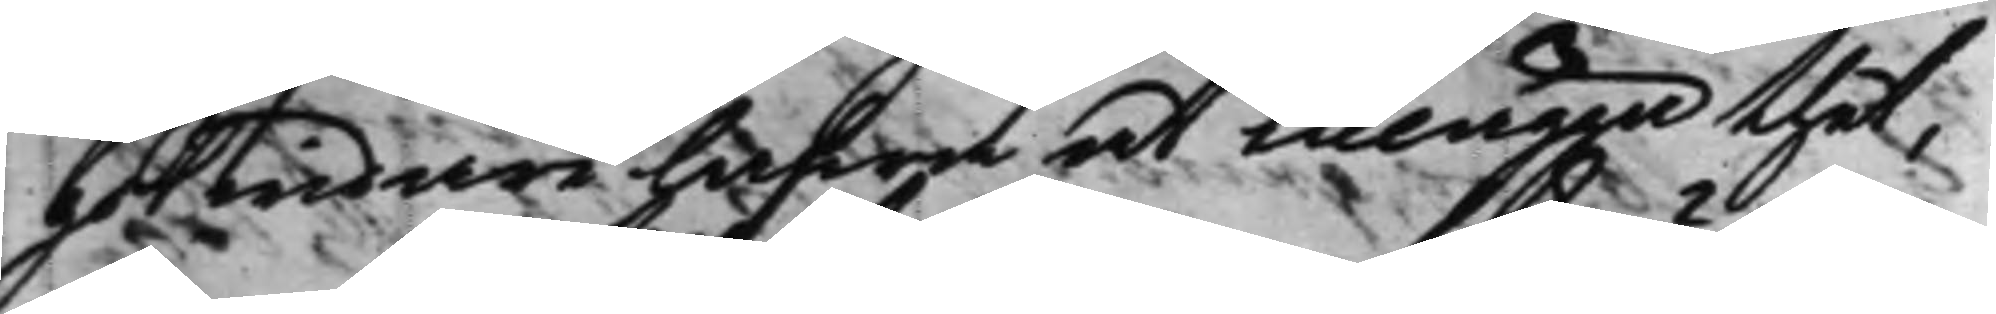got widare hafwa at tillägga thet,
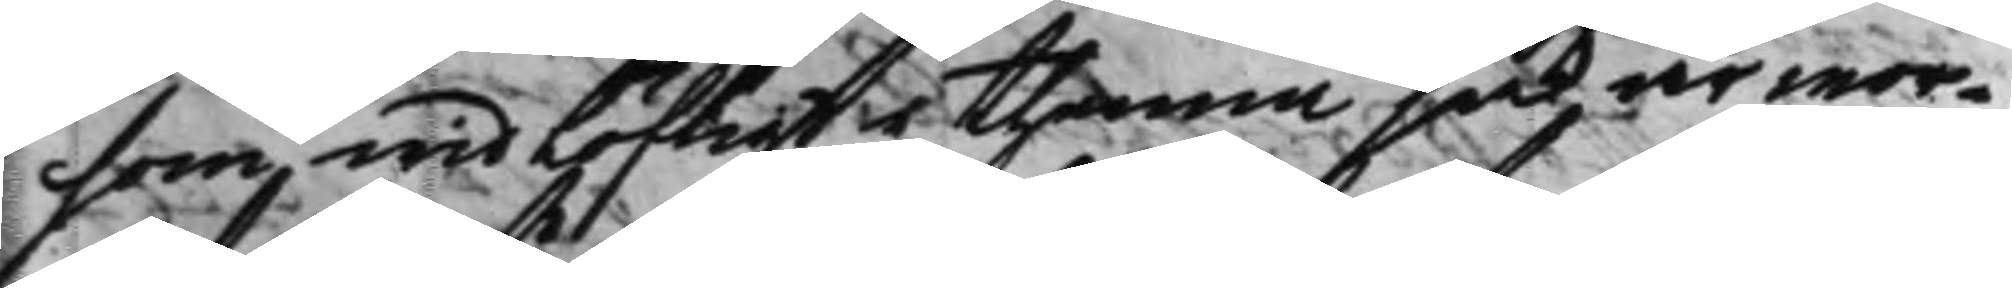som, widlöftigt i thenna sak är wor¬
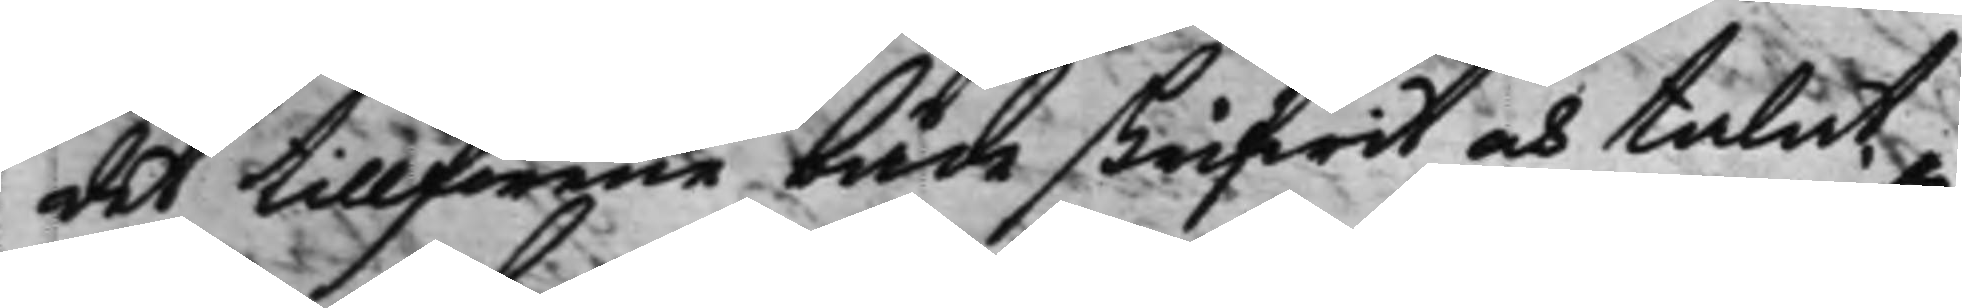det tillförene både skrifwit och talat,
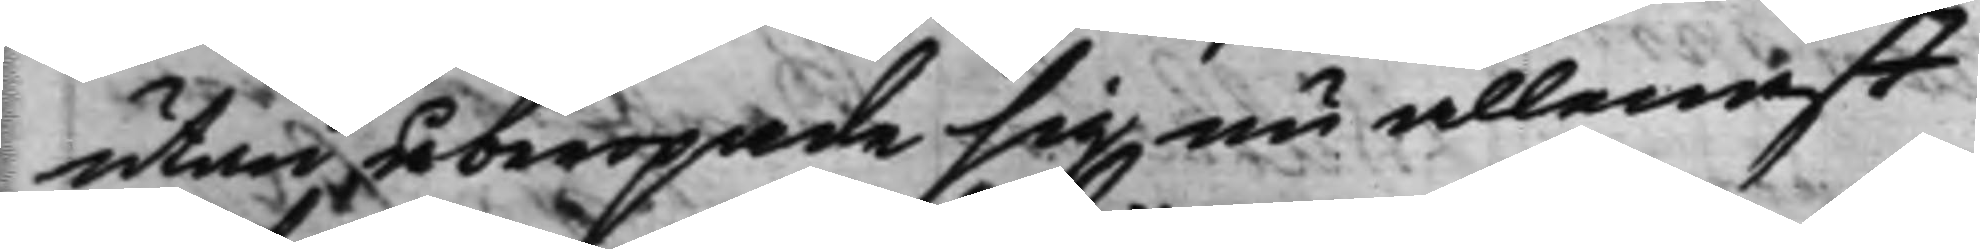utan åberopade sig nu allenast
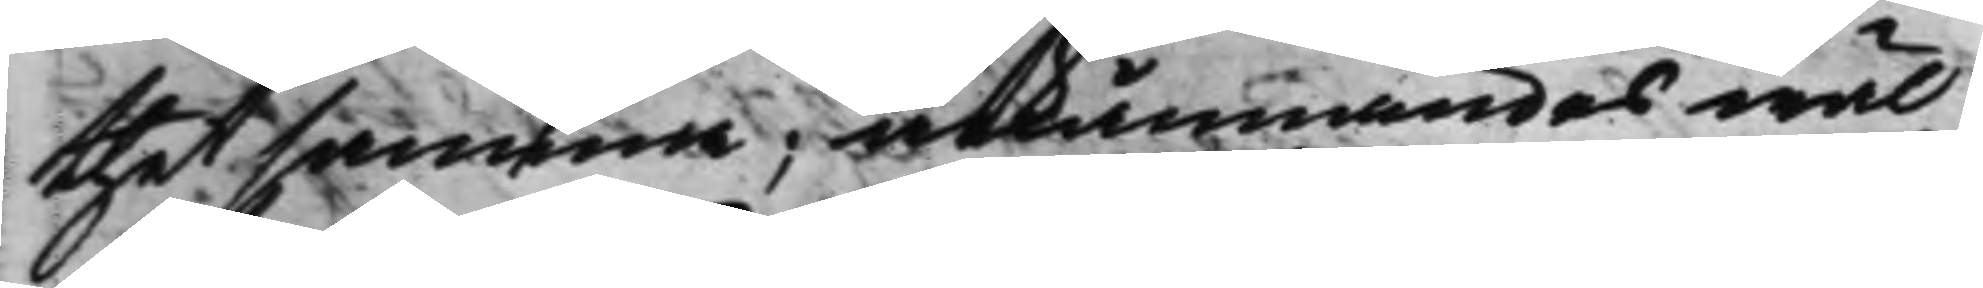thetsamma; ärkännandes wäl
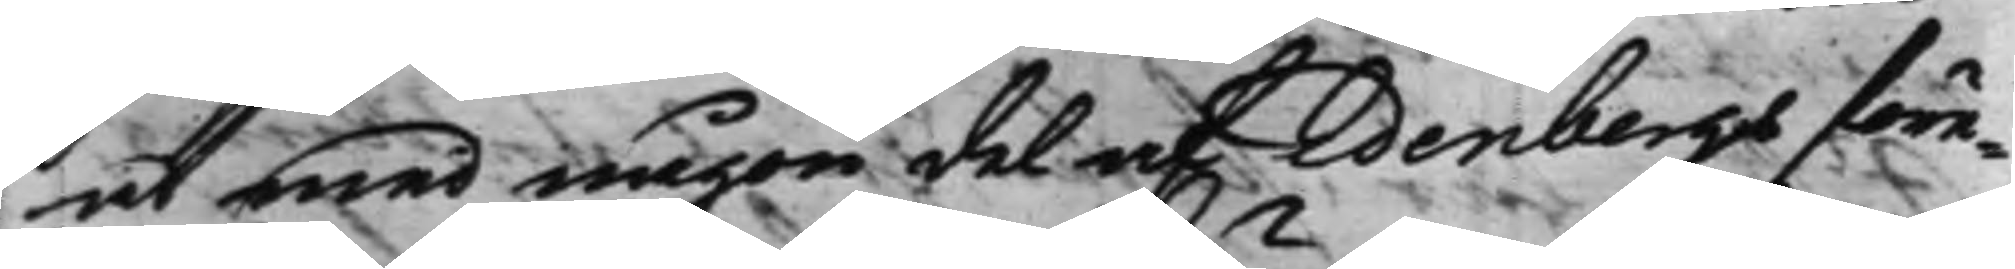at med någon del af Edenbergs före¬
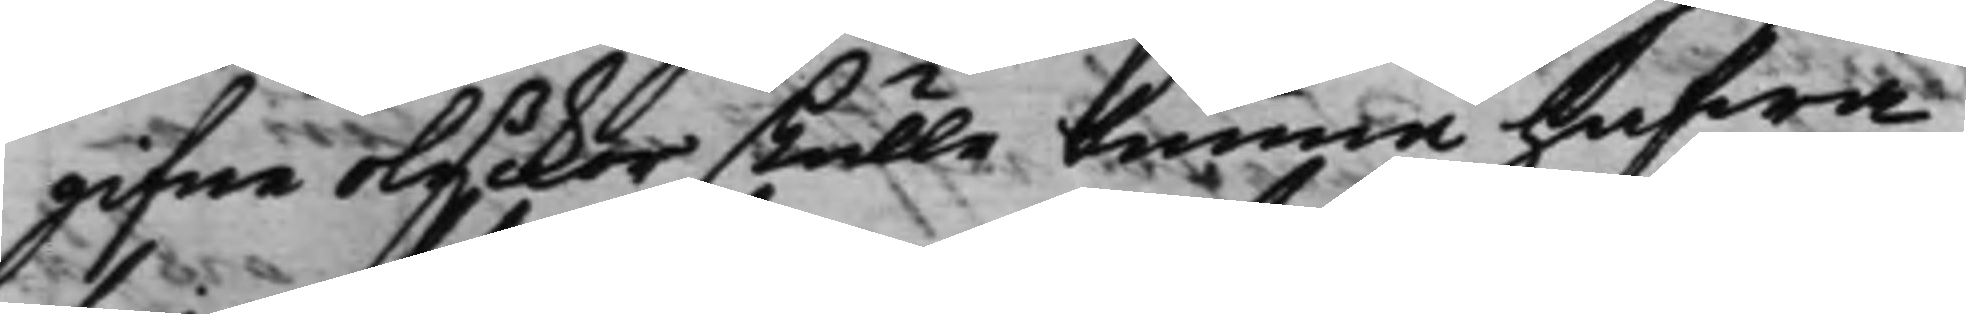gifne olyckor skulle kunna hafwa
